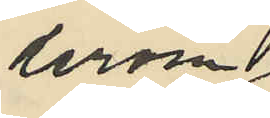derom
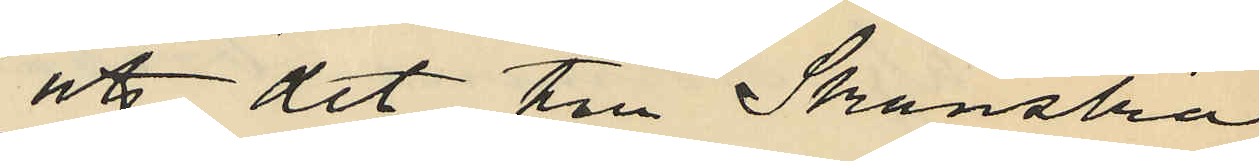att det till Skånska
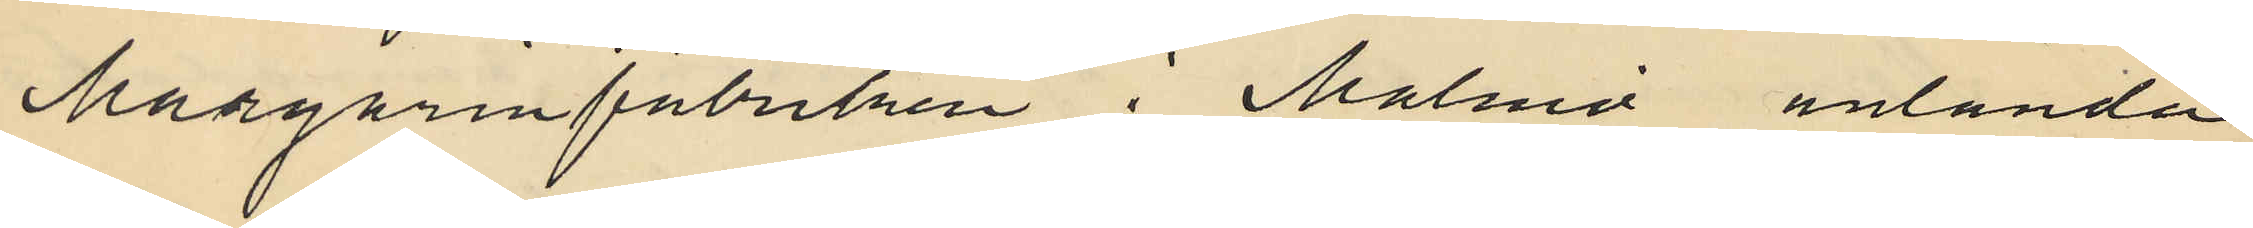Margarinfabrilen i Malmö anlända
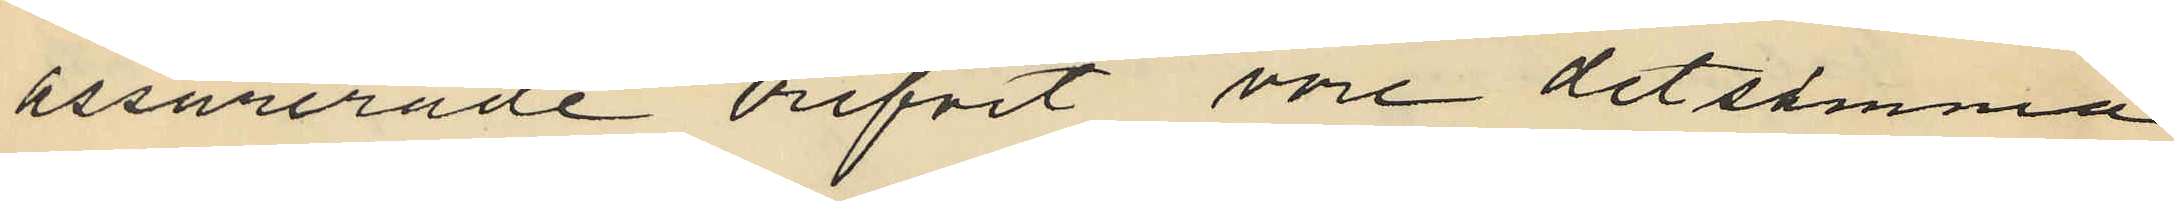assurerade brefvet vore detsamma
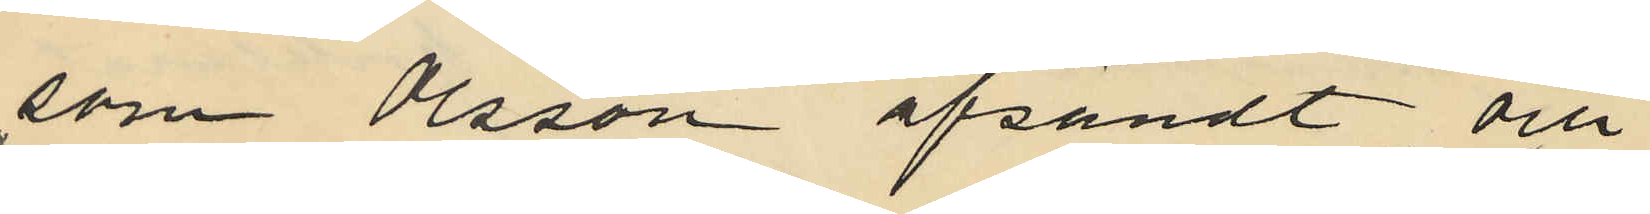som Olsson afsändt och
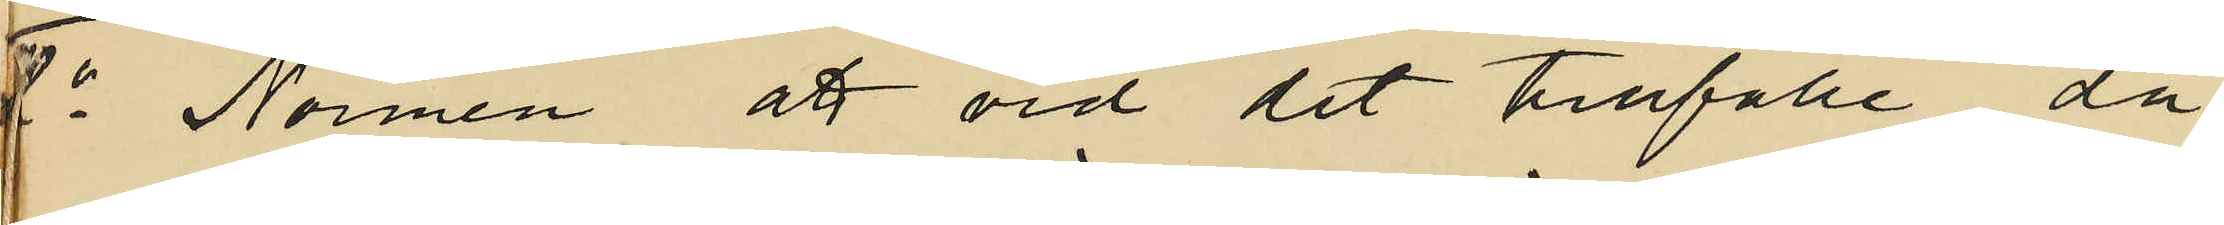7o Normén att vid det tillfälle då
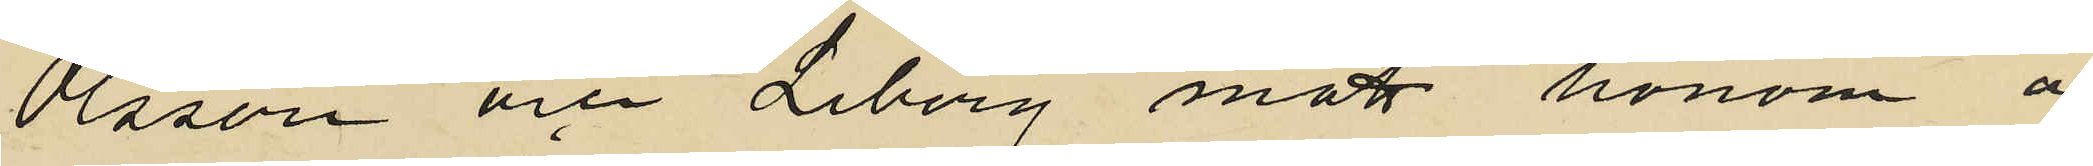Olsson och Liberg mött honom å
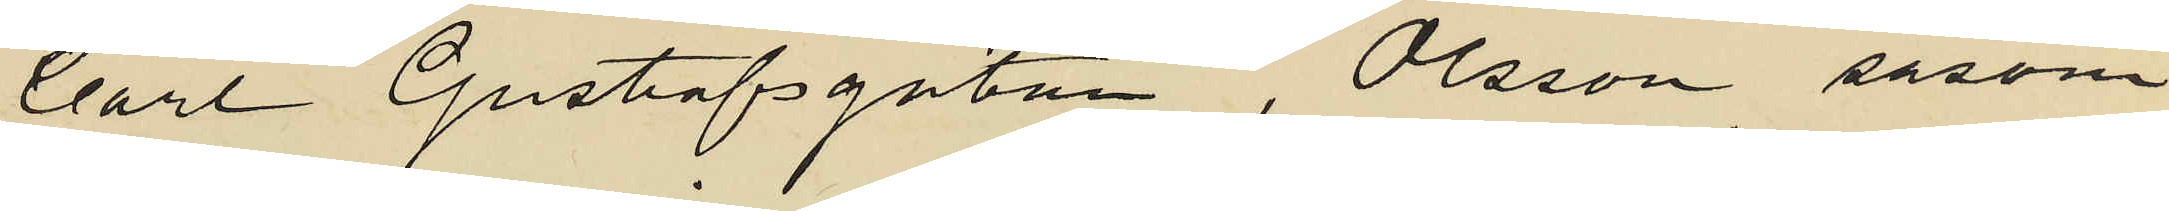Carl Gustafsgatan, Olsson såsom
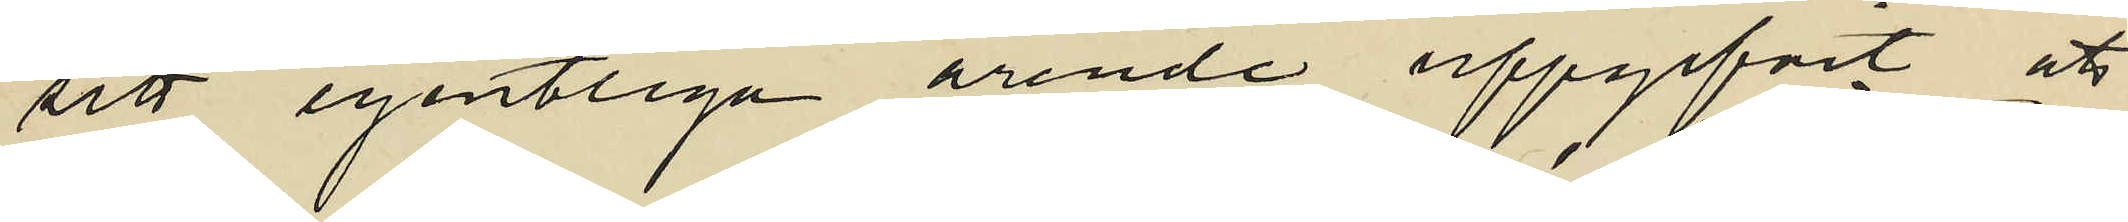sitt egentliga ärende uppgifvit att
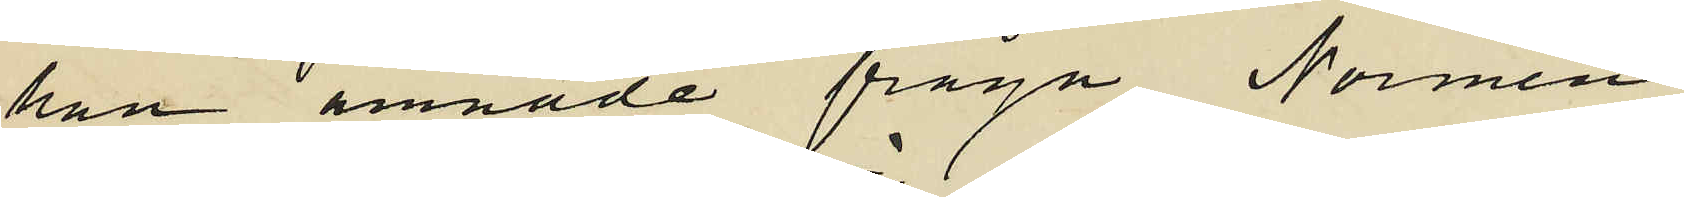han ämnade fråga Normén
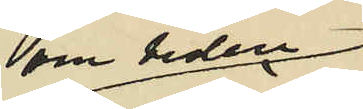om tiden
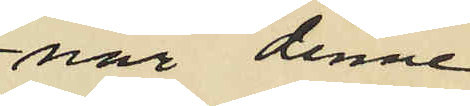när denne
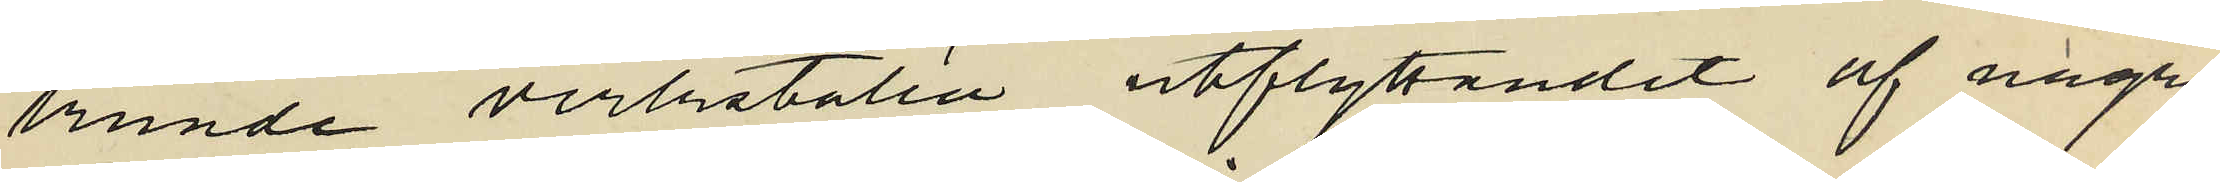kunde verkställa utflyttandet af några
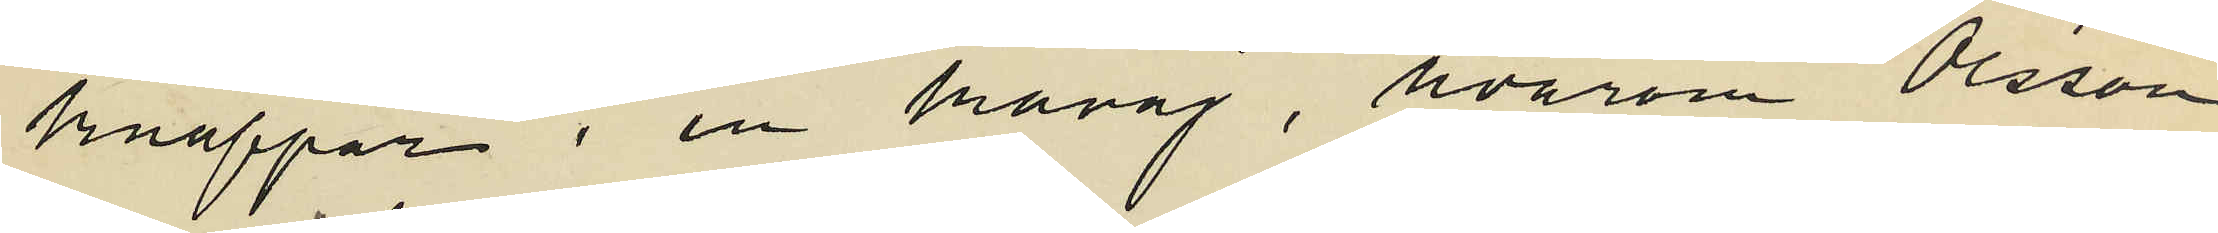knappar i en kavaj, hvarom Olsson
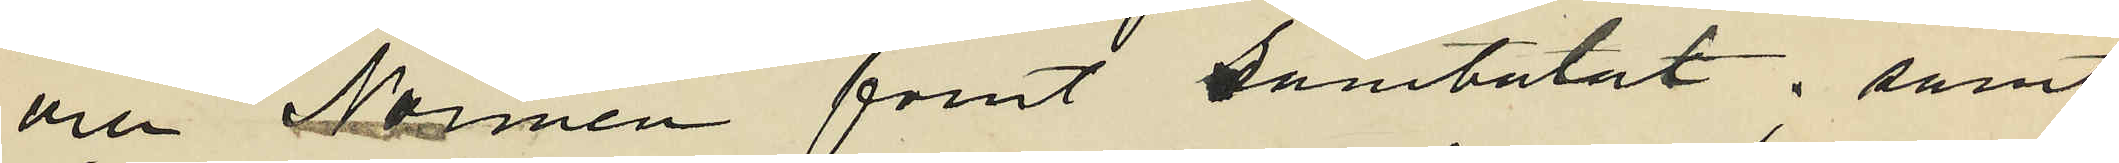och Normén förut samtalat; samt
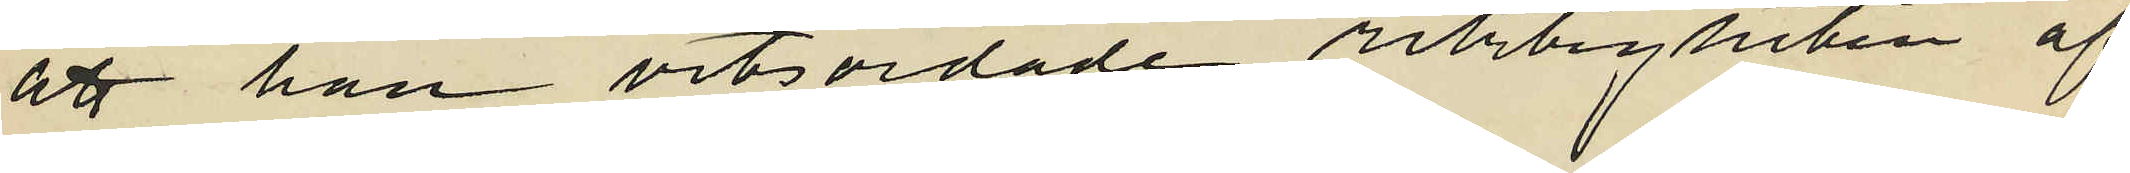att han vitsordade riktigheten af
